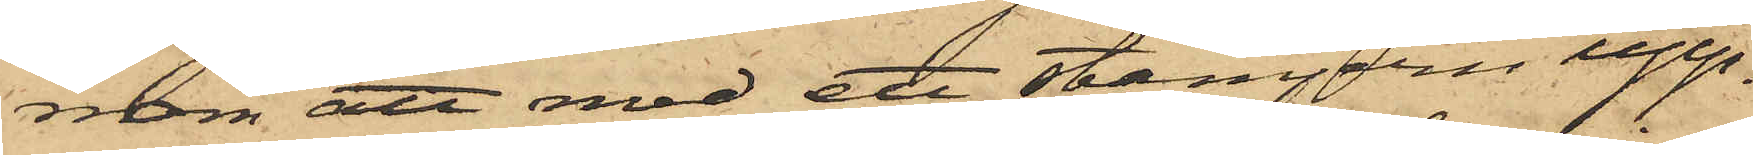nom att med ett stämjern upp¬
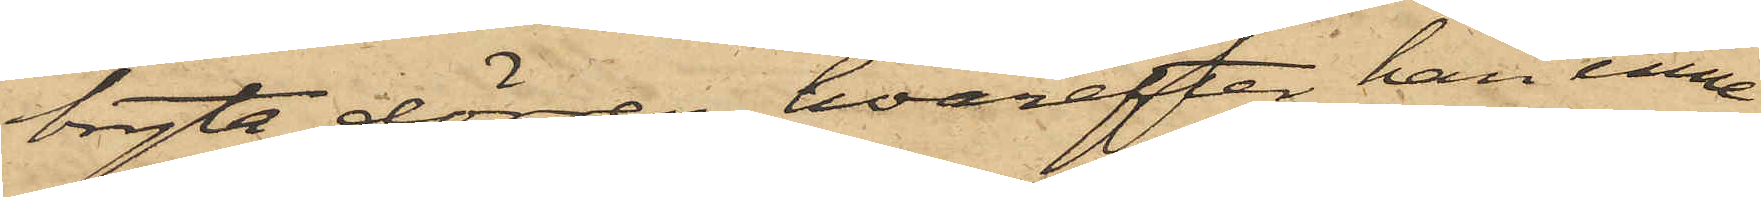bryta dörren, hvarefter han inne
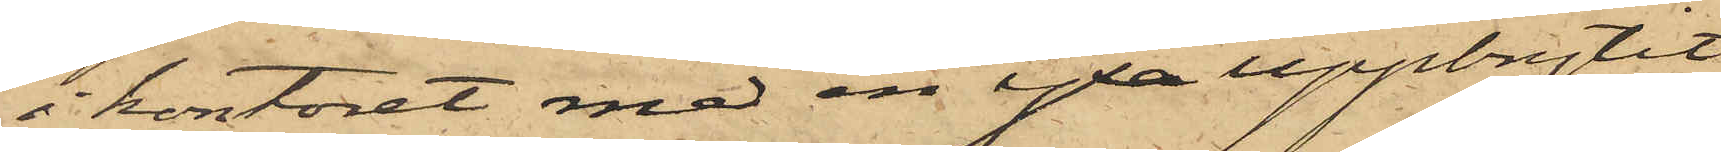i kontoret med en yxa uppbrytit
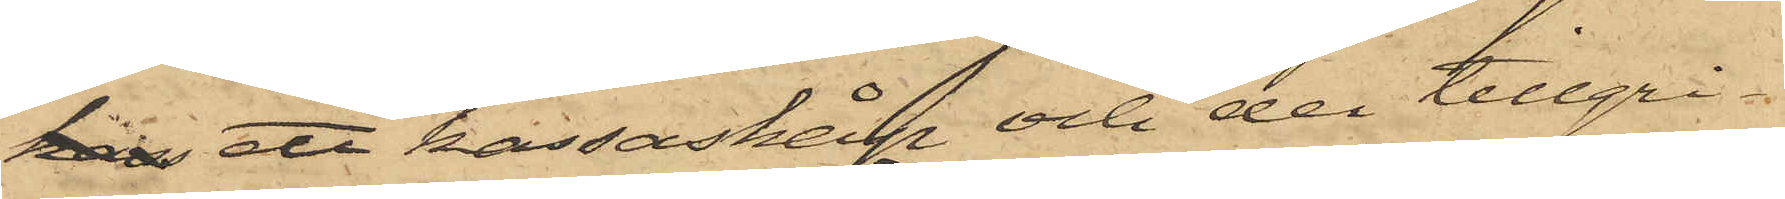kas ett kassaskåp och der tillgri¬
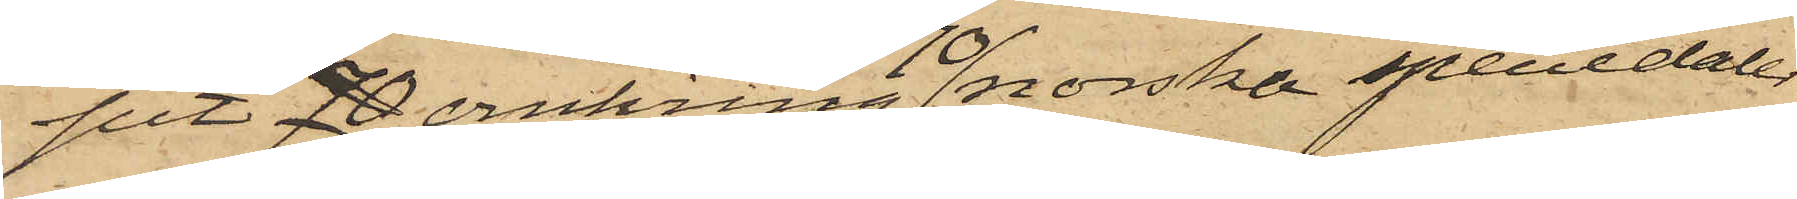pit 70 omkring 70 norska speciedaler
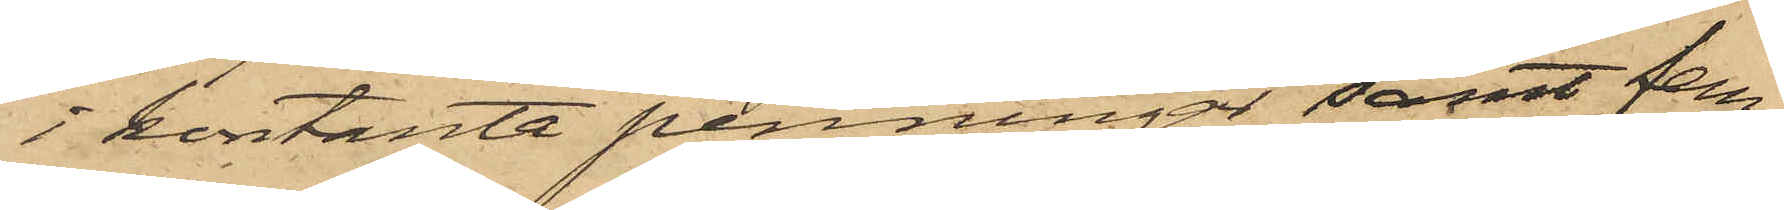i kontante penningar, samt fem
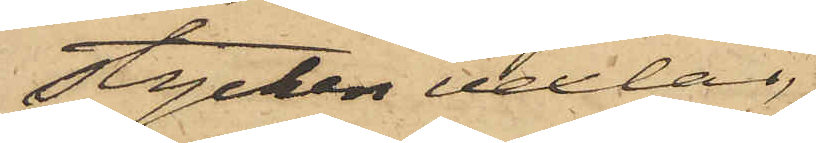stycken vexlar,
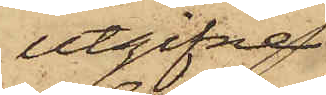utgifvne
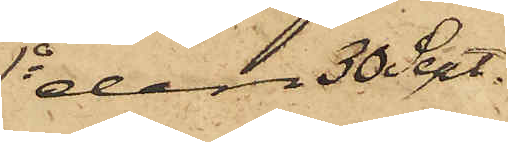1o den 30 Sept.
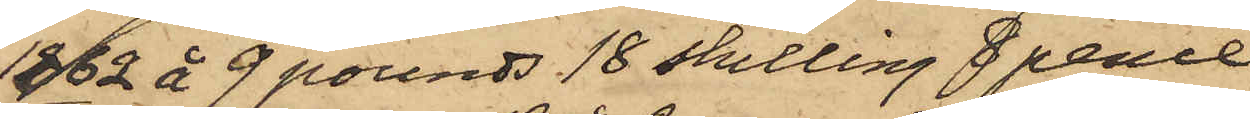1862 å 9 pounds 18 skilling 8 pence
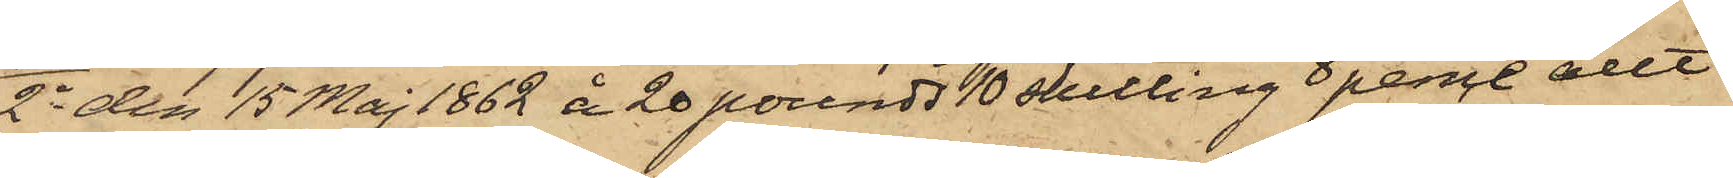2o den 15 Maj 1862 å 20 pounds 10 skilling 8 pence allt
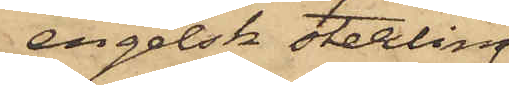engelsk sterling.
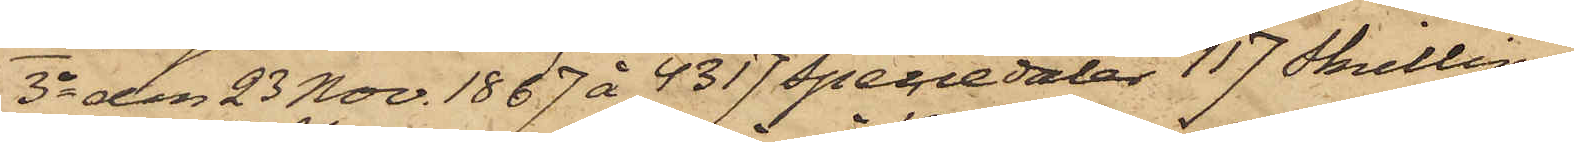3o den 23 Nov. 1867 å 4317 speciedaler 117 skilling
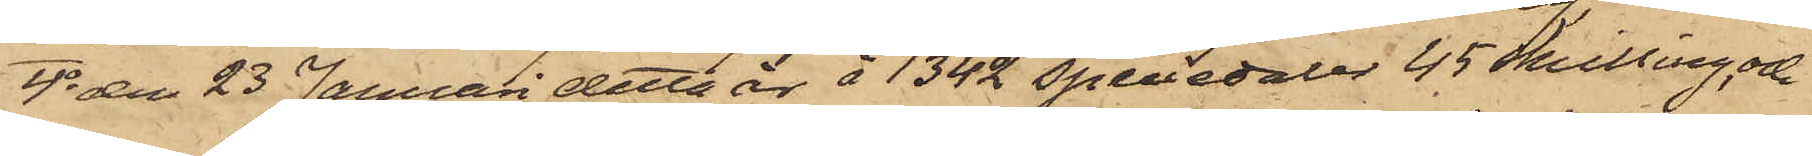4o den 23 Januari detta år å 1342 speciedaler 45 skilling, och
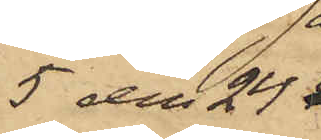5 den 24
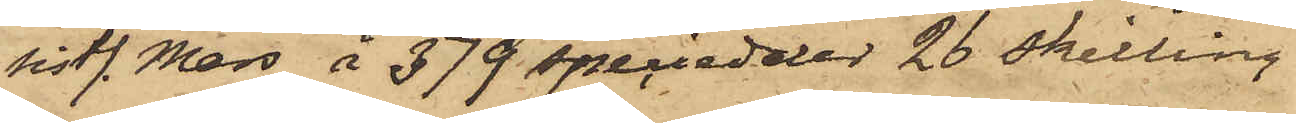sistl. Mars å 379 speciedaler 26 skilling
